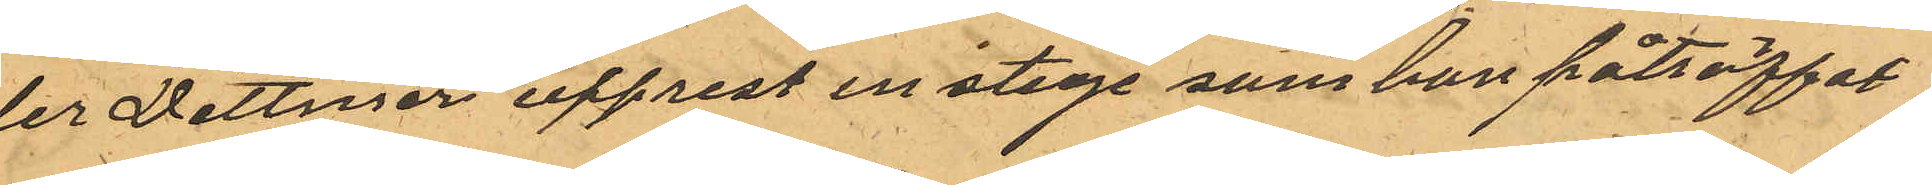der Dittmer upprest en stege som han påträffat
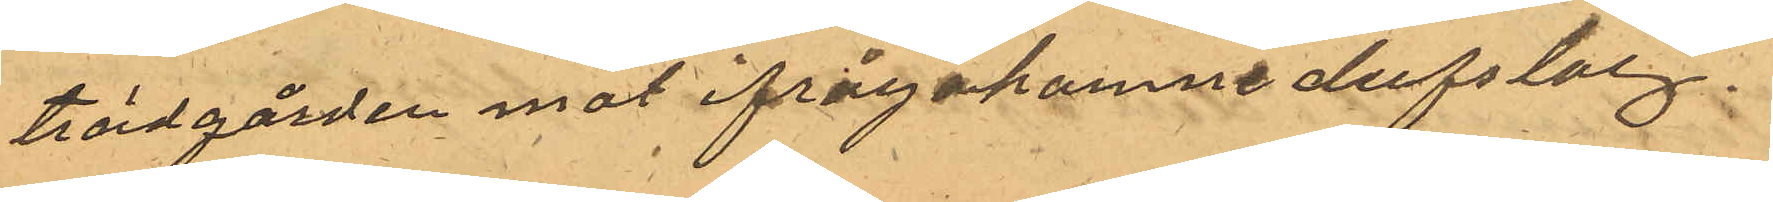i trädgården mot ifrågakomne dufslag.
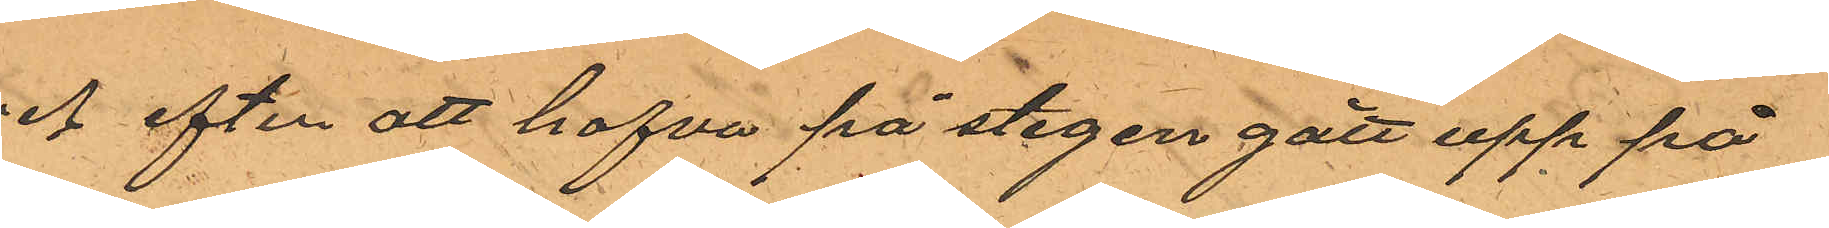och efter att hafva på stegen gått upp på
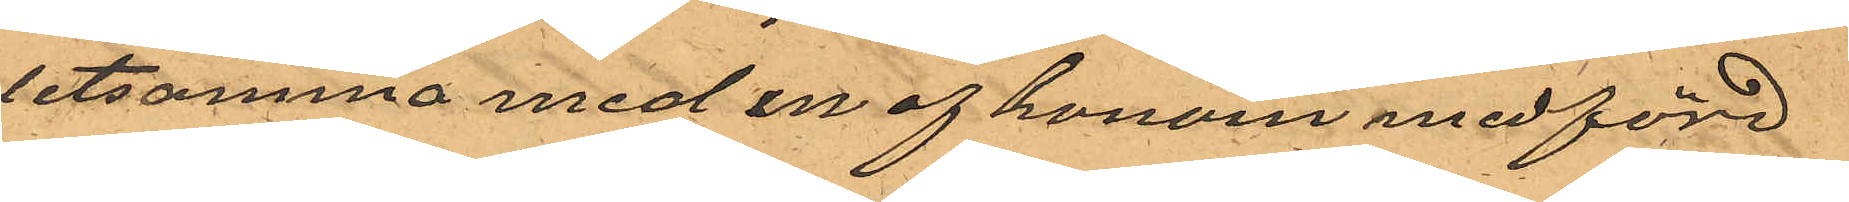detsamma med en af honom medförd
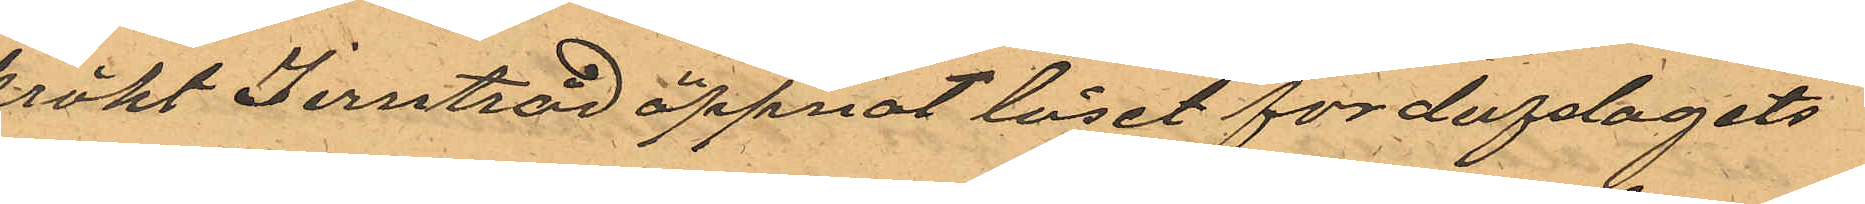krökt Jerntråd öppnat låset for dufslagets
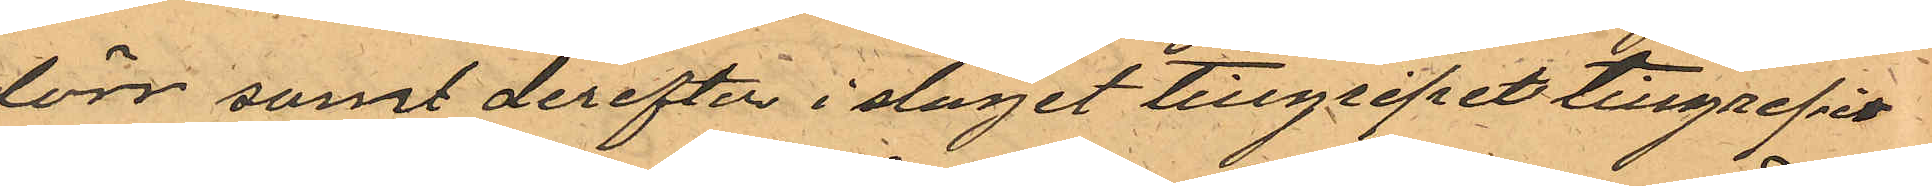dörr samt derefter i slaget tillgripit tillgripit
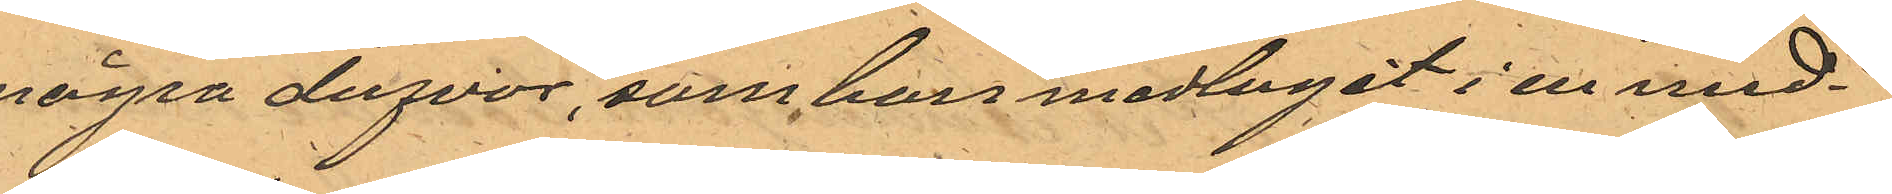några dufvor, som han medtagit i en med¬
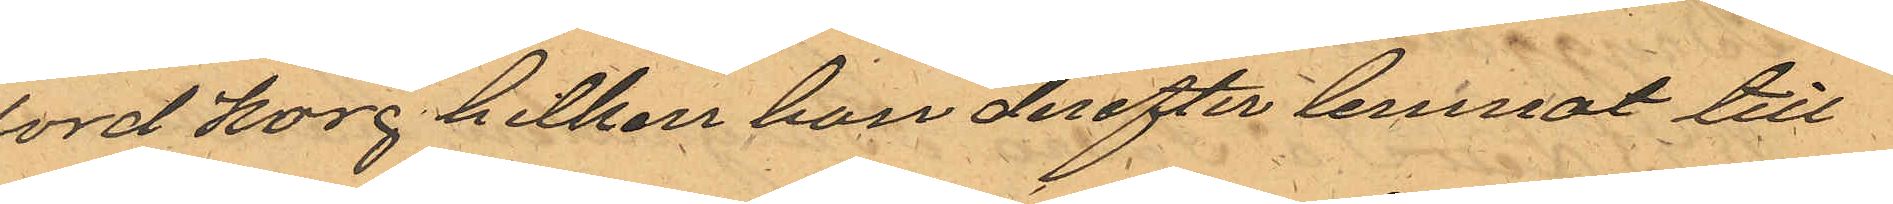ford korg hilken han derefter lemnat till
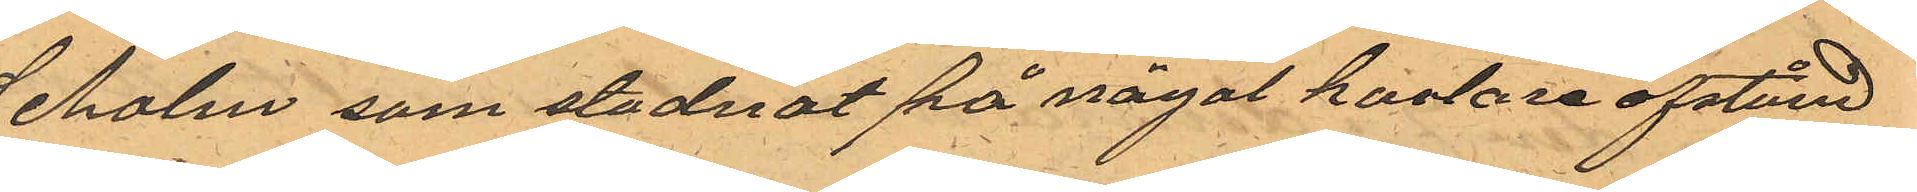Seholm som stadnat på något kortare afstånd
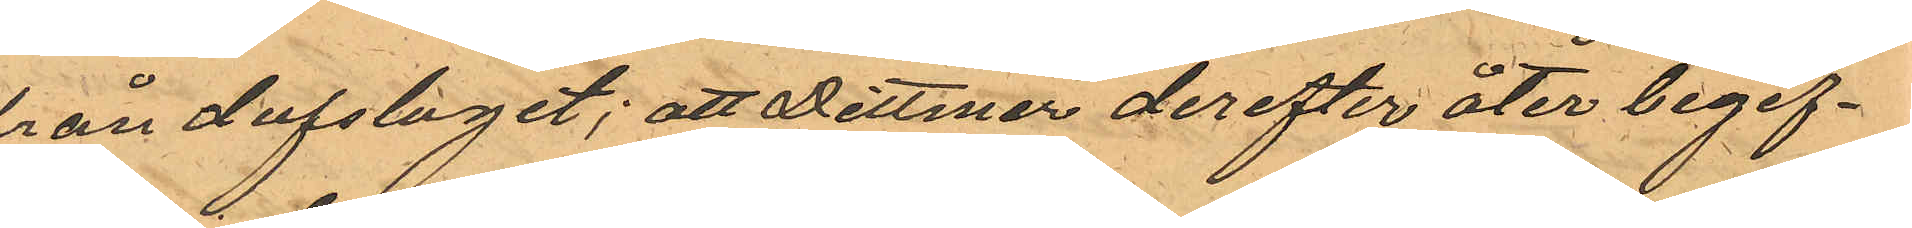från dufslaget; att Dittmer derefter åter begif¬
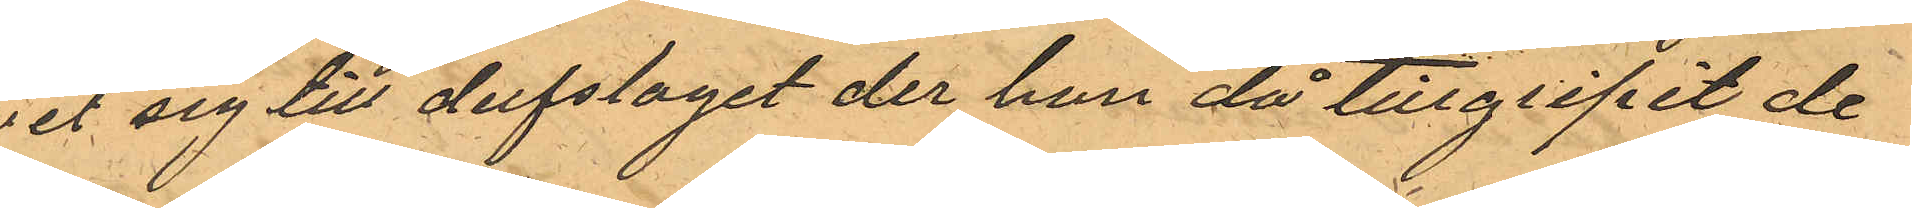vit sig till dufslaget der han då tillgripit de
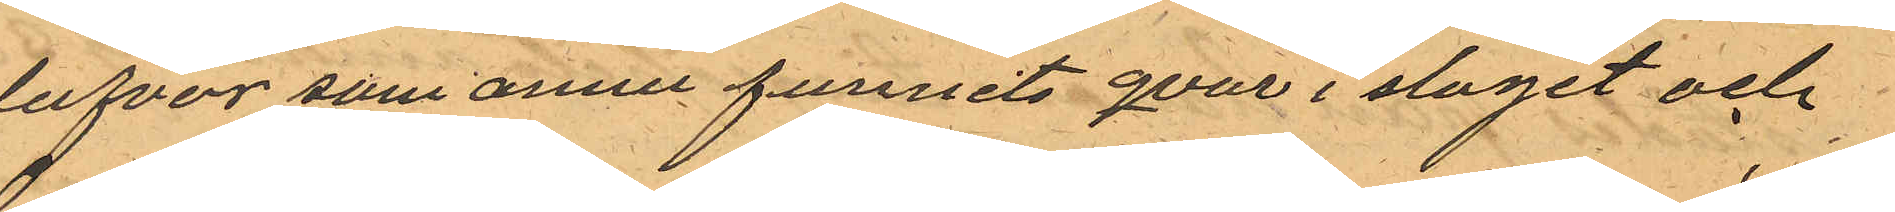dufvor som annu funnits qvar i slaget och
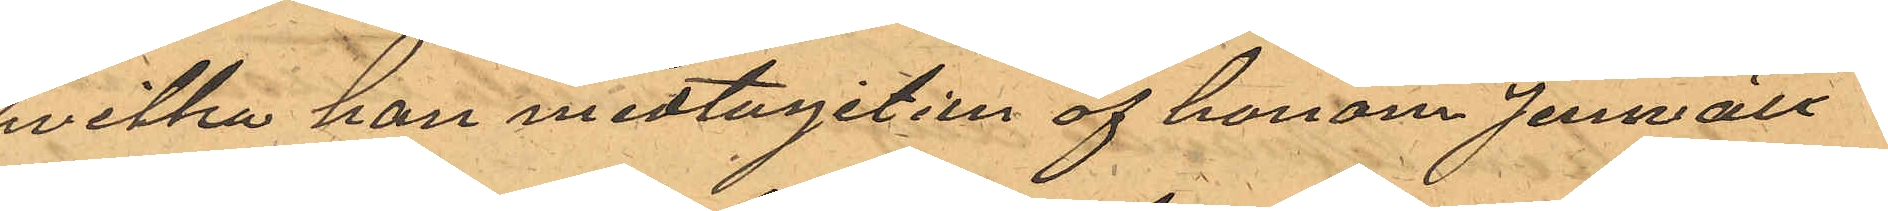hvilka han medtagit i en af honom jemväl
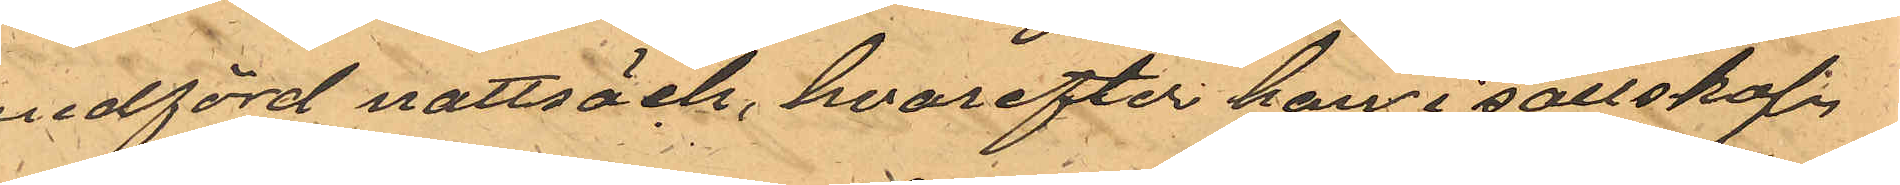medförd nattsäck, hvarefter han i sällskap
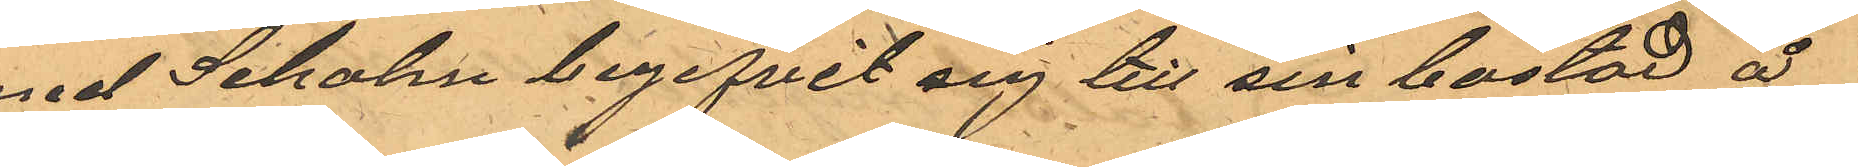med Seholm begifvit sig till sin bostad å
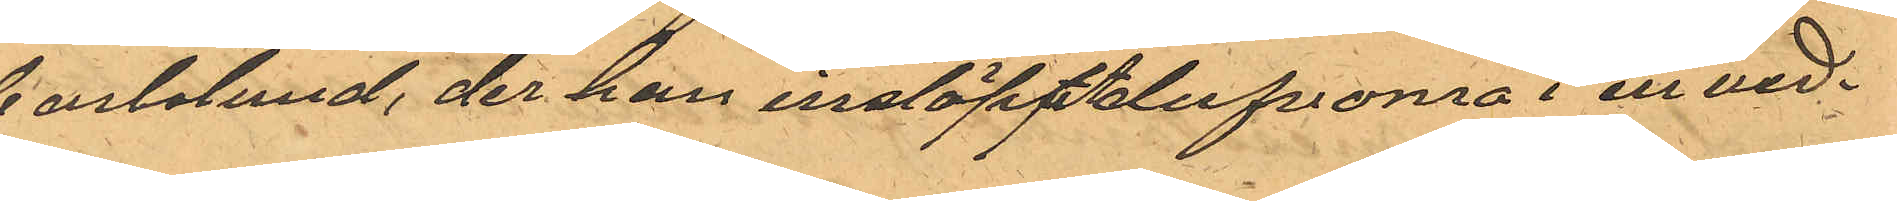Carlslund, der han insläppt dufvorna i en ved¬
